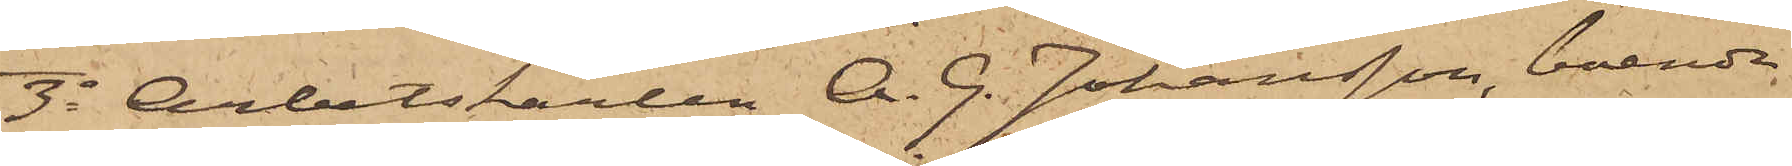3o Arbetskarlen A. G. Johansson, boende
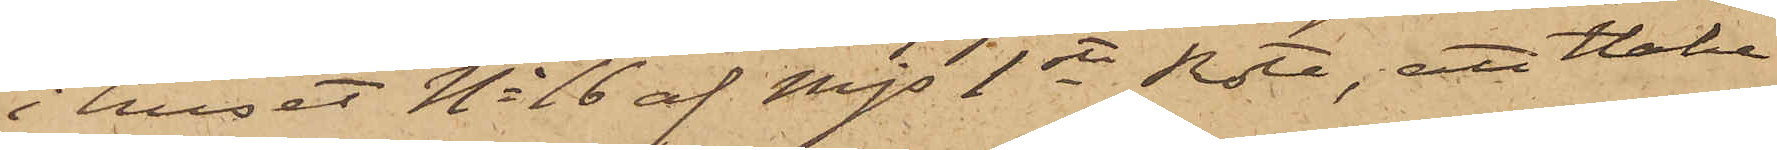i huset No 16 af Mjs 1sta Rote, att Hake
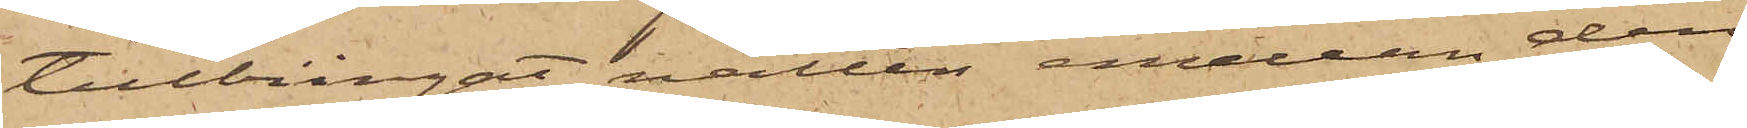tillbringat natten emellan den
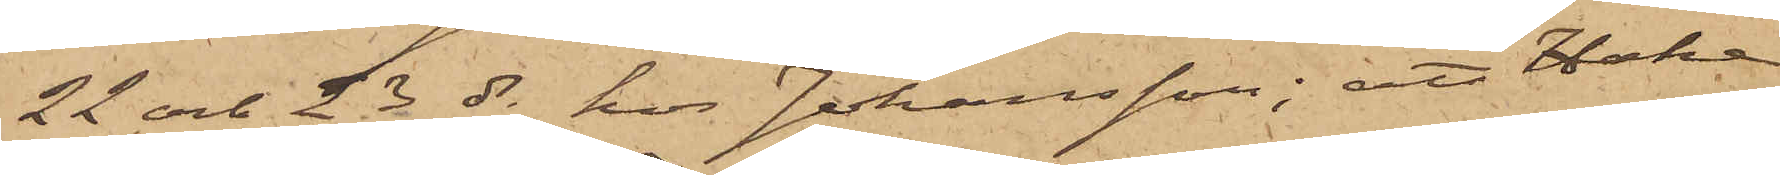22 och 23 ds hos Johansson; att Hake
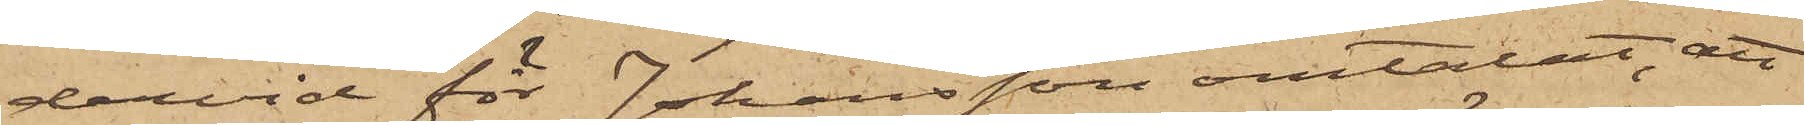dervid för Johansson omtalat, att
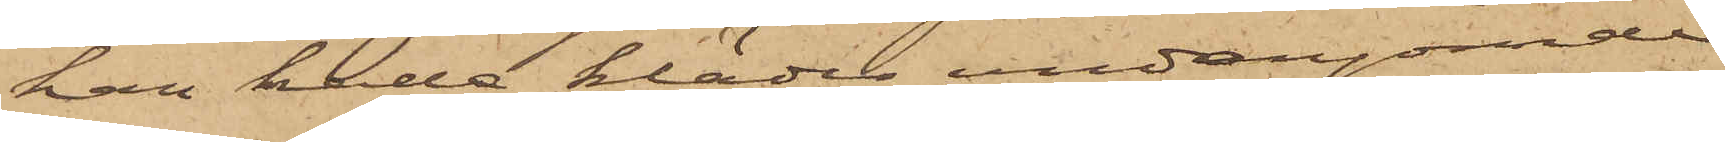han hade kläder undangömde
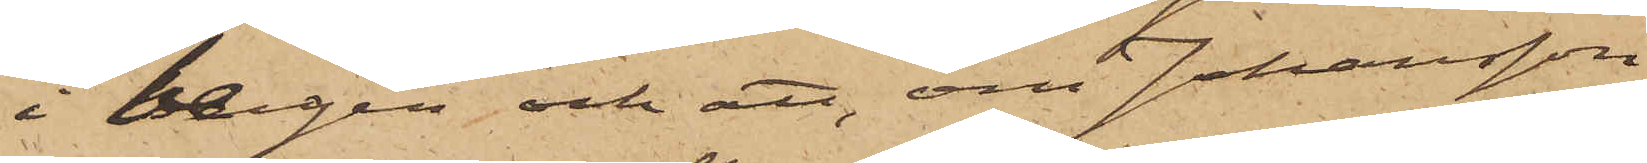i bergen och att, om Johansson
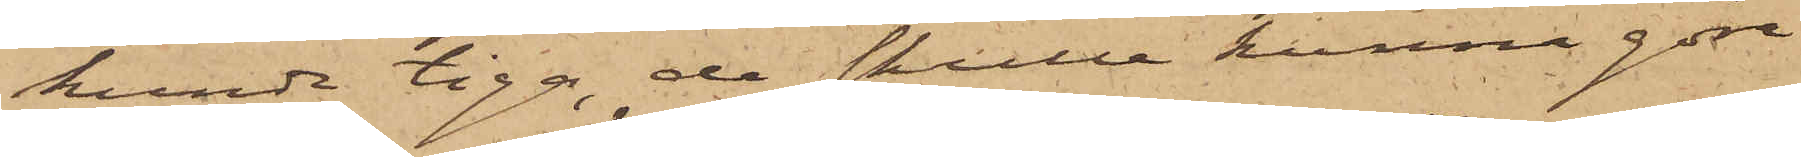kunde tiga, de skulle kunna göra
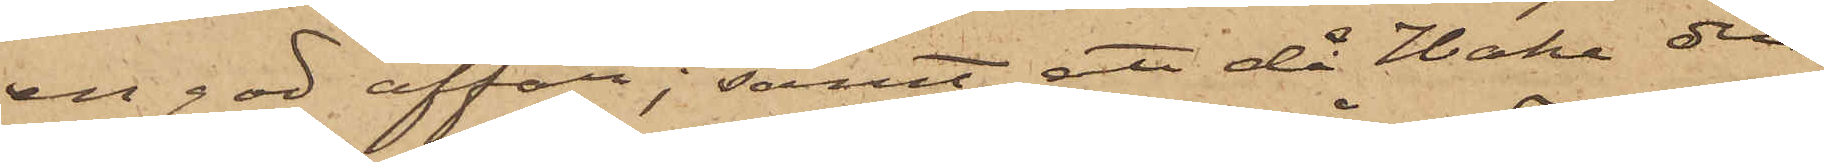en god affär; samt att då Hake den
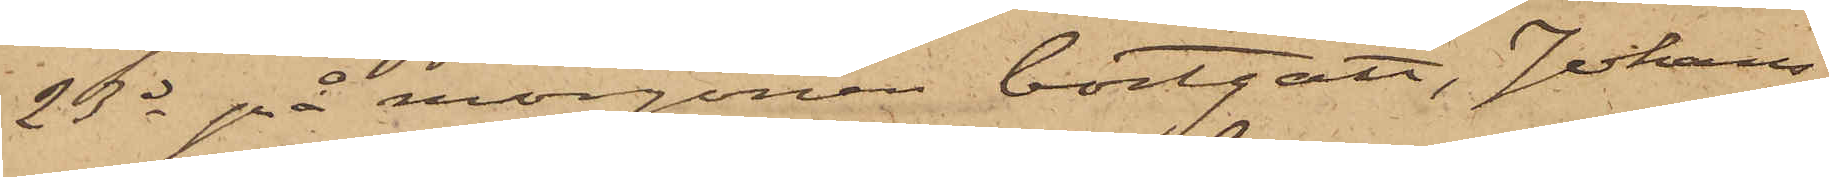23 ds på morgonen bortgått, Johans¬
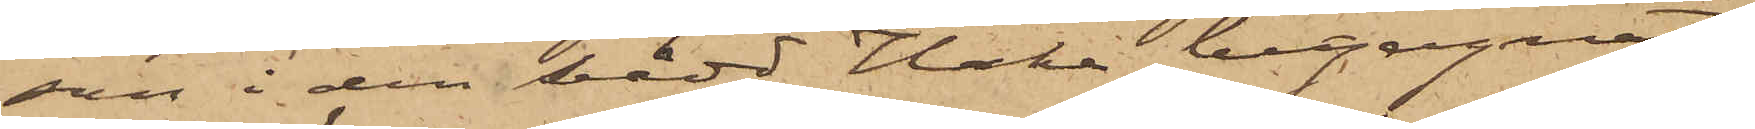son i den bädd Hake begagnat,
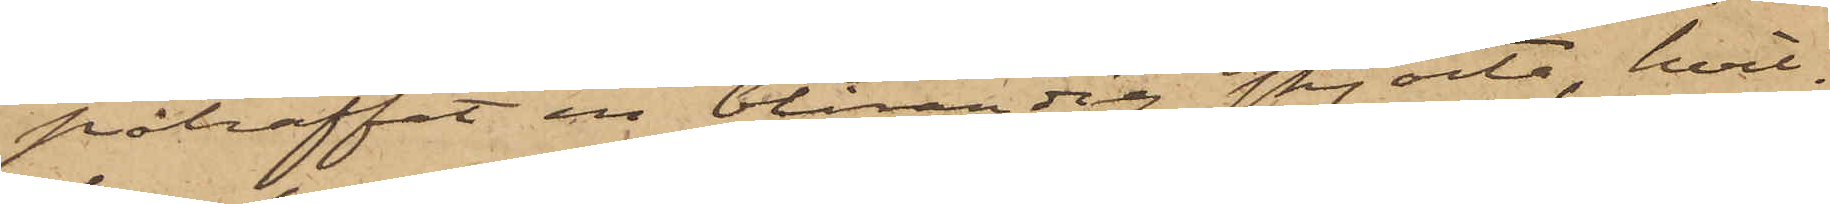påträffat en blårandig skjorta, hvil¬
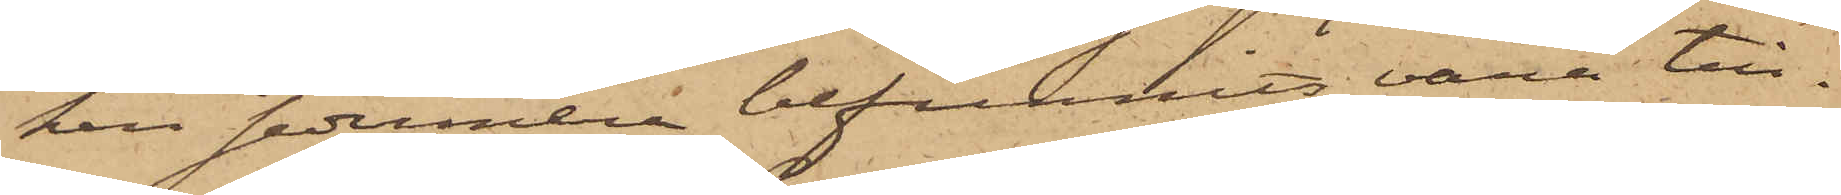ken sedermera befunnits vara till¬
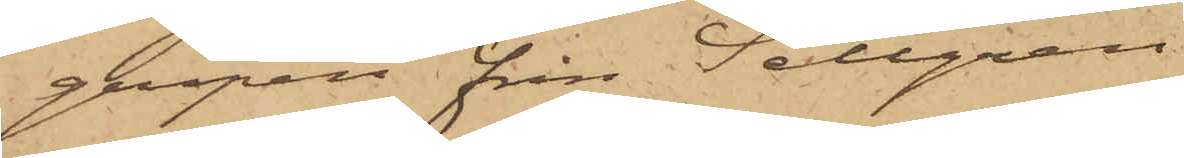gripen från Sellgren.
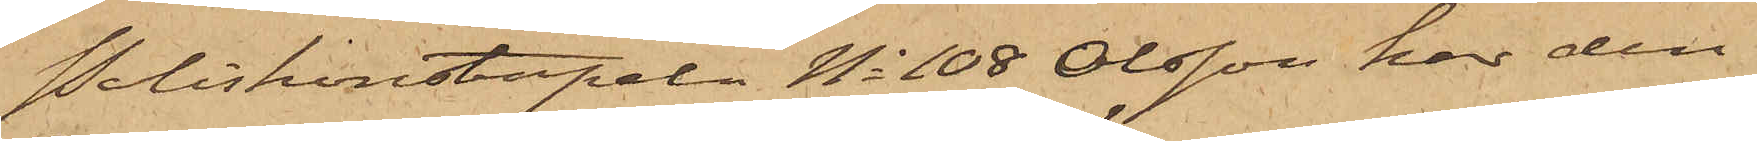Poliskonstapeln No 108 Olsson har den
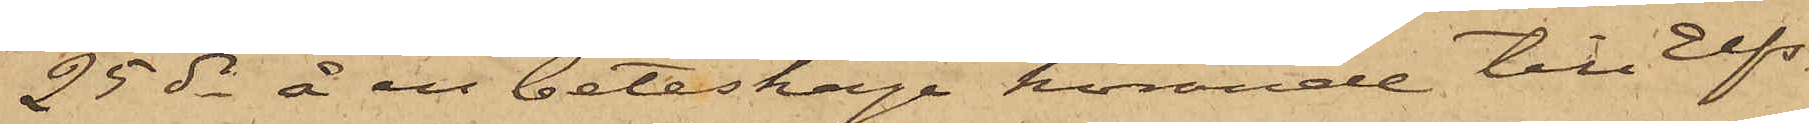25 ds å en beteshage hörande till Elfs¬
